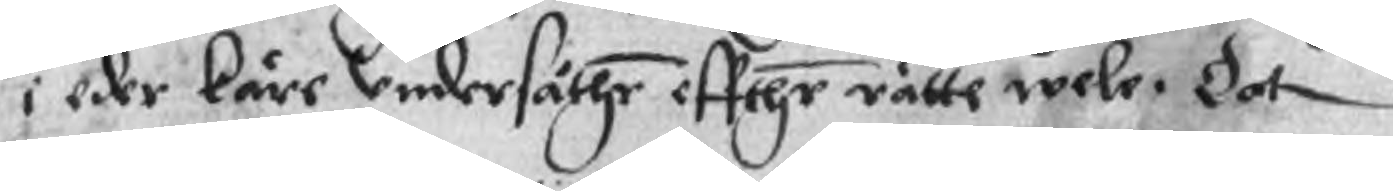i eder käre Undersåthe effthr rätte wele. Dat
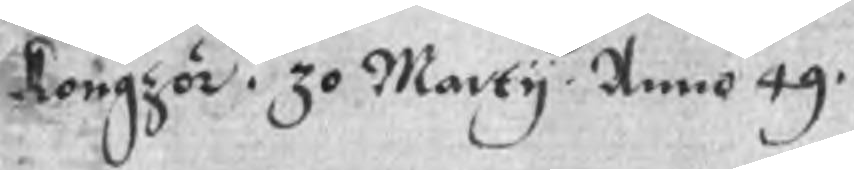Kongzör. 30 Marty. Anno 49.
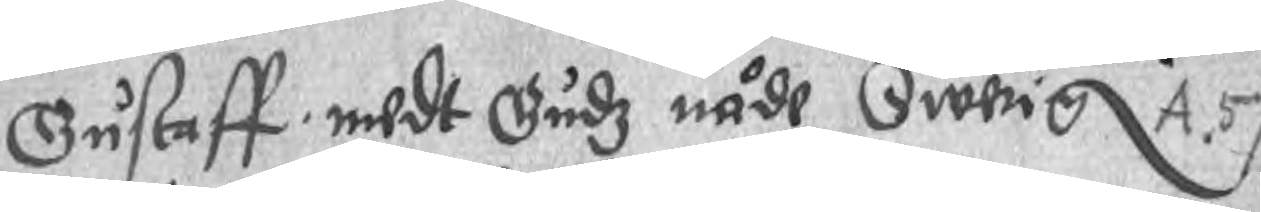Gustaff medt Gudz nåde Swerig A.57
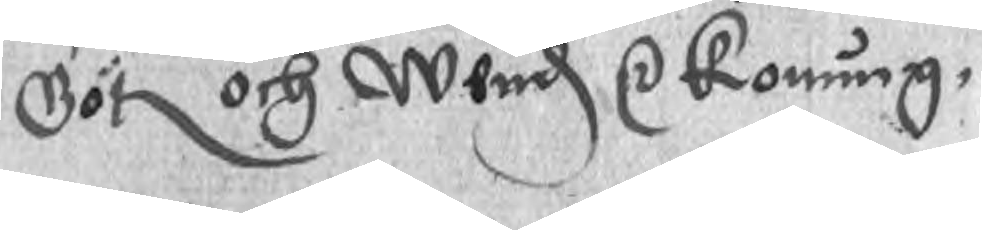Göt och Wend r Konung
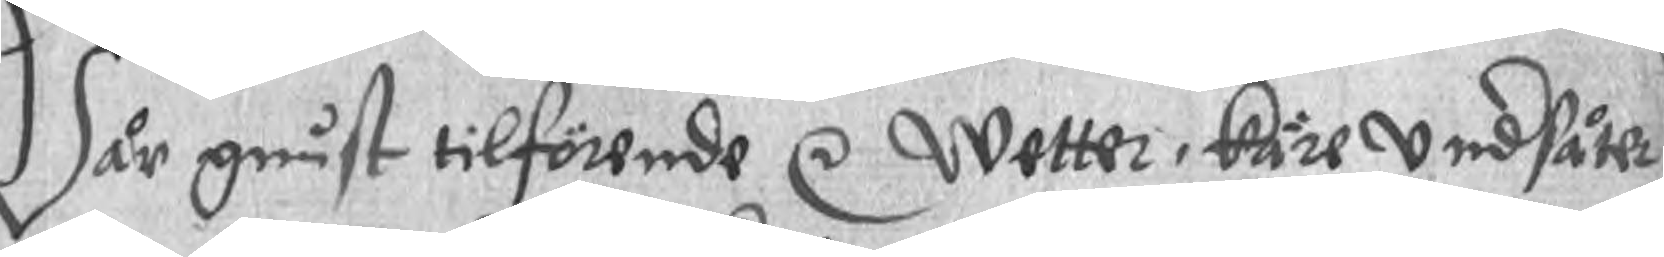Wår gunst tilförende r  Wetter, käre undsåthe
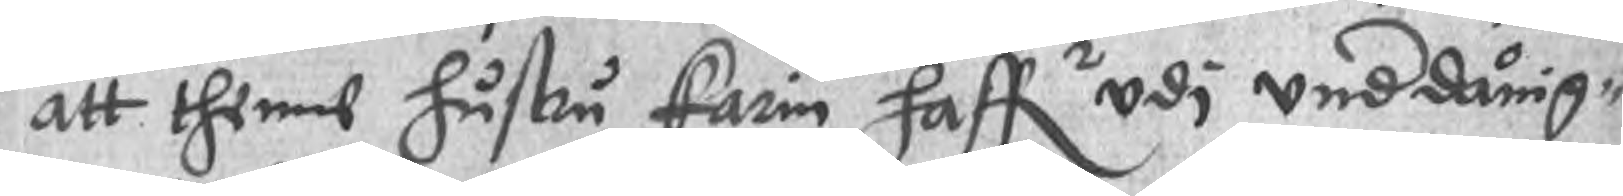att thenne hustru Carin haffr udi unddånig¬
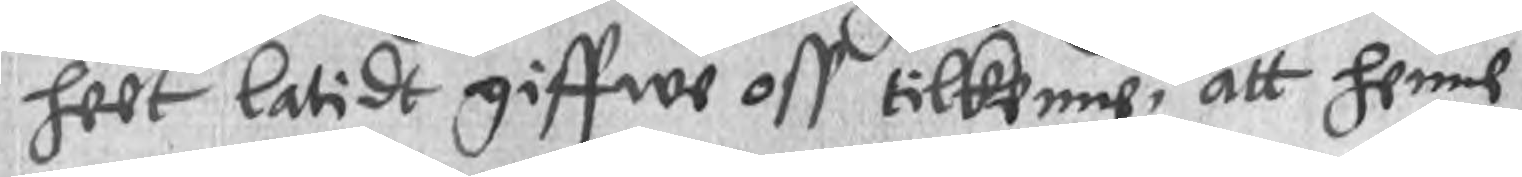heet latidt giffwe oss tilkenne, att henne
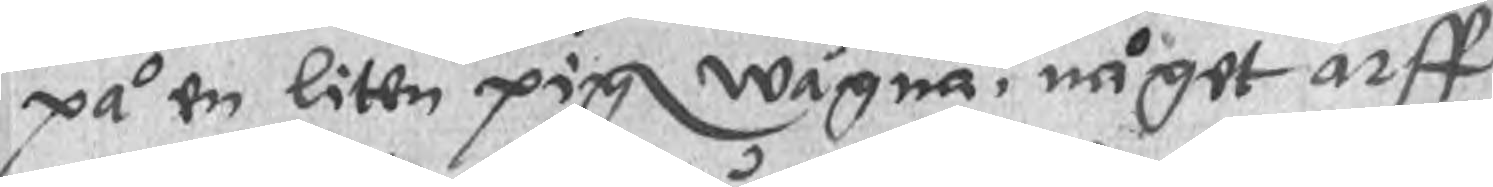på en liten pig wägna, någet arff
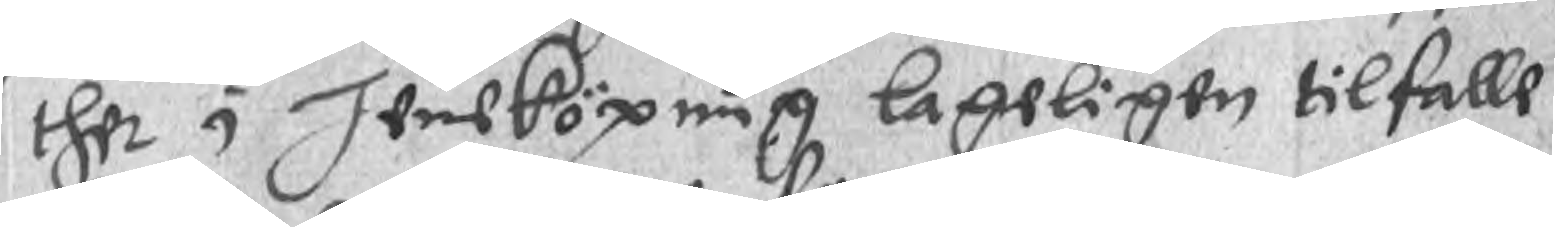ther i Jensköpung lageligen tilfalle
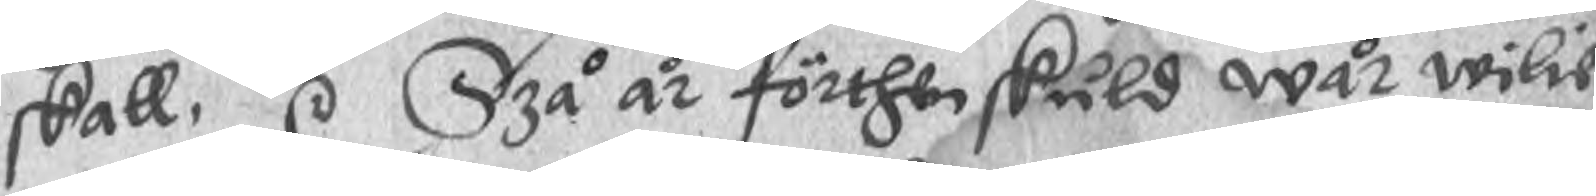skall, r Szå år förthen skuld wår wilie
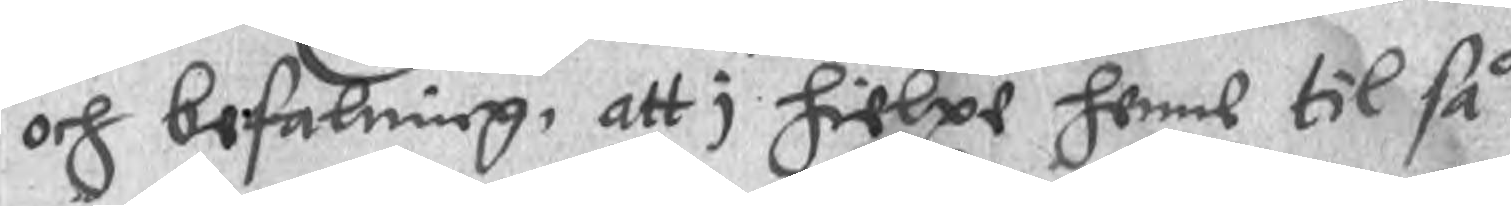och befalning, att i hielpe henne til så
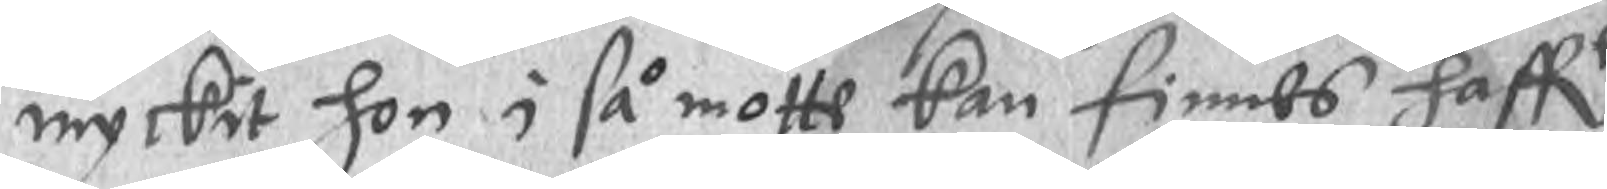myckit hon i så motte kan finnes haffe
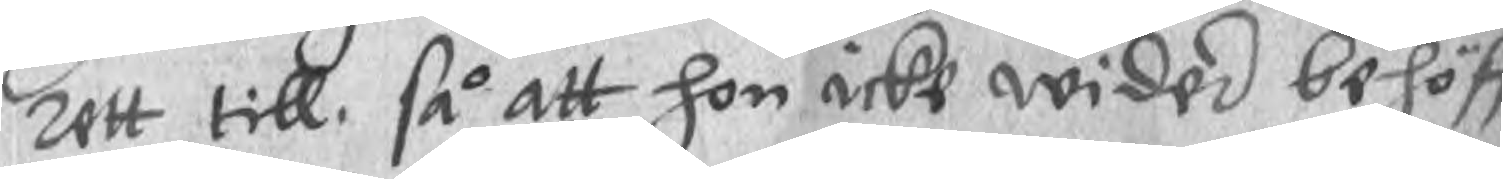rett till, så att hon icke wided behöffr
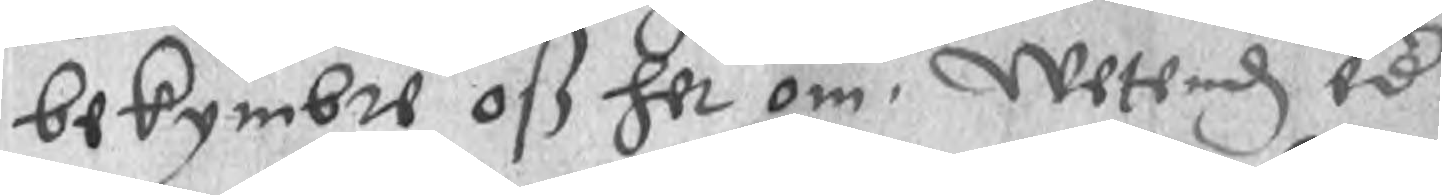bekymbre oß her om. Wetend och
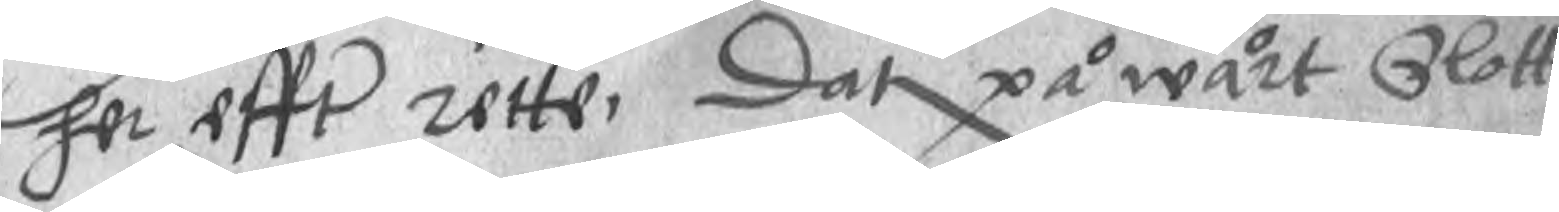her effr rette. Dat på wårt Slott
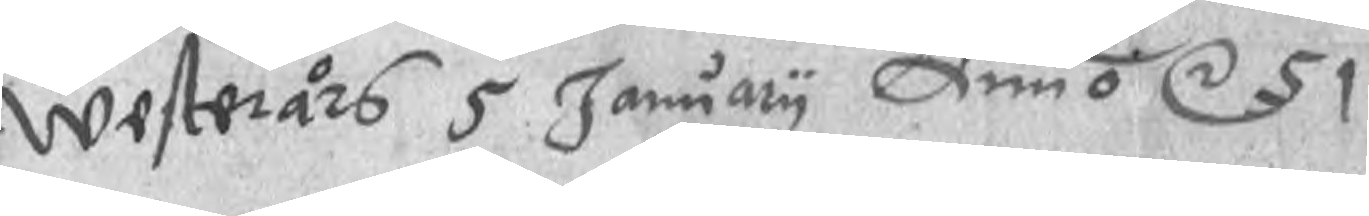Westerårs 5 January Anno r 51
